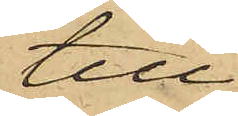till¬
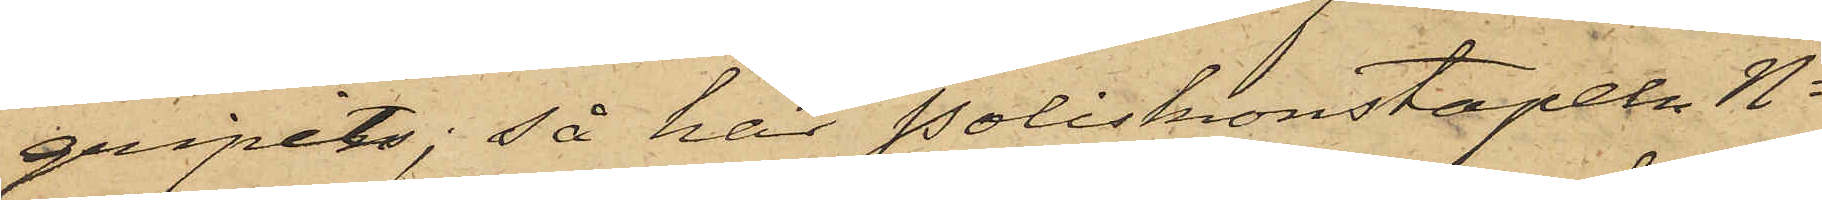gripits; så har Poliskonstapeln No
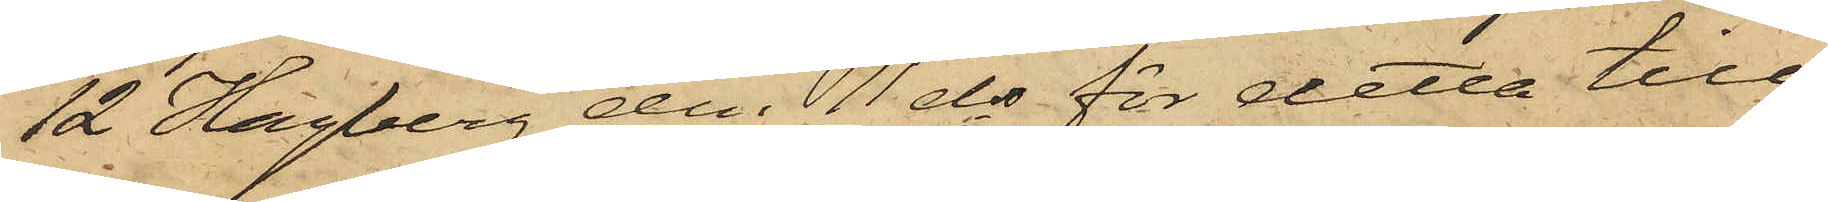12 Hagberg den 11 ds för detta till
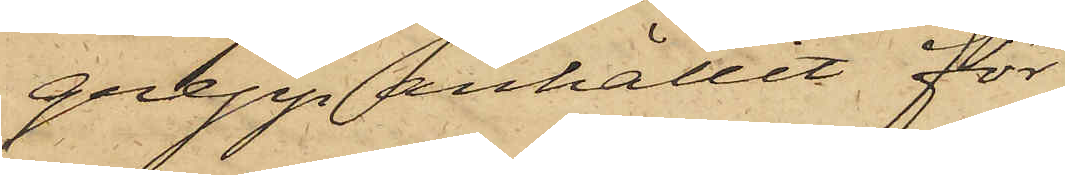grepp anhållit för
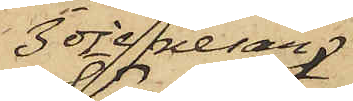3dje resan
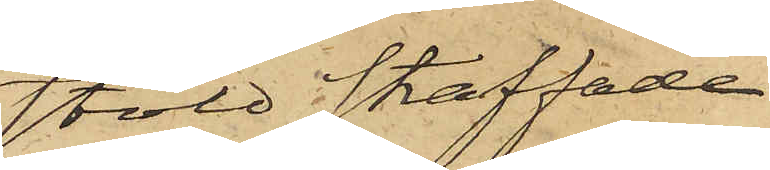stöld straffade
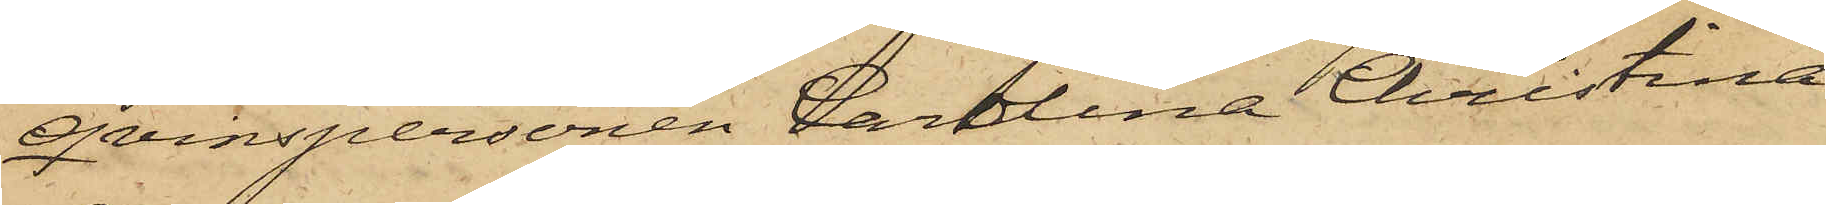qvinspersonen Carolina Christina
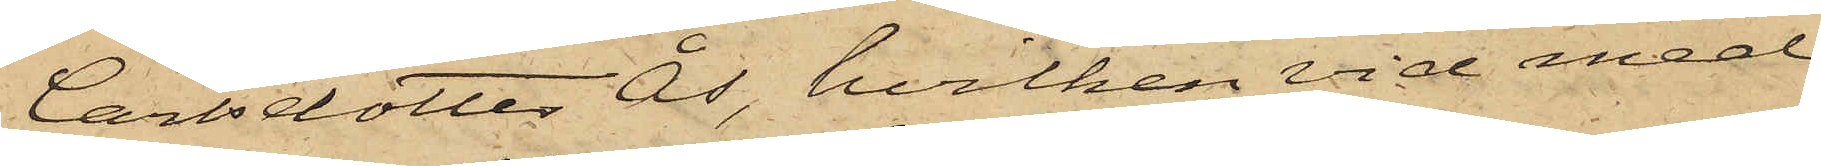Carlsdotter Ås, hvilken vid med
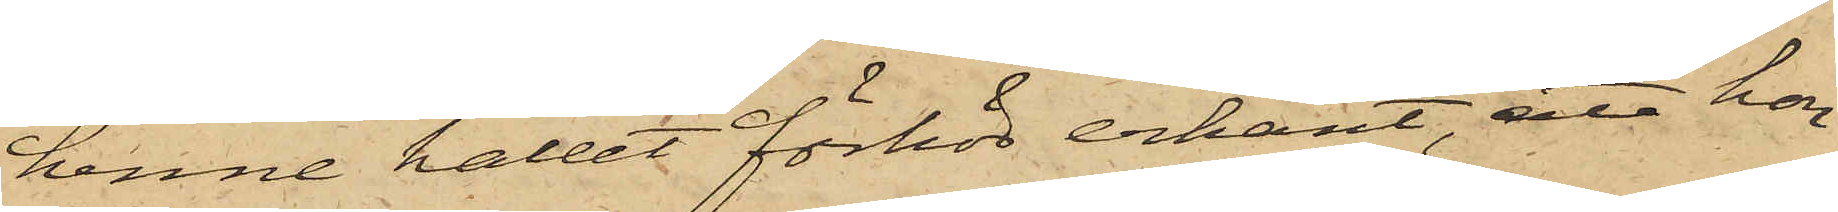henne hållet förhör erkänt, att hon
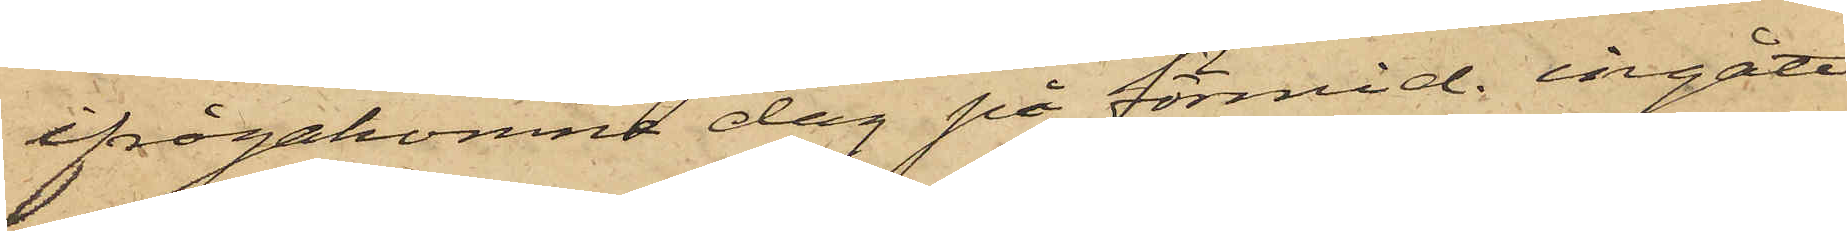ifrågakomne dag på förmid. ingått
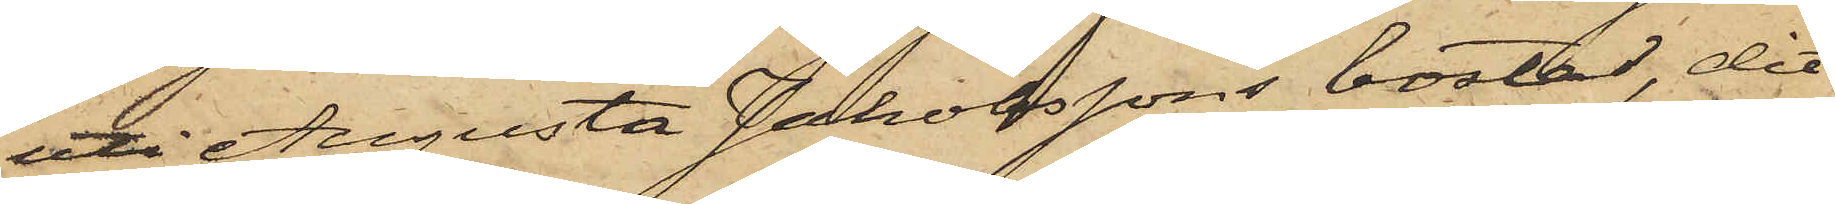uti Augusta Johanssons bostad, dit
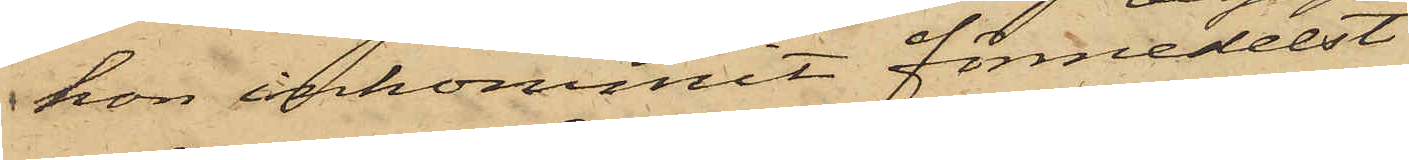hon inkommit förmedelst
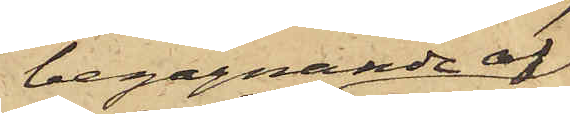begagnande af
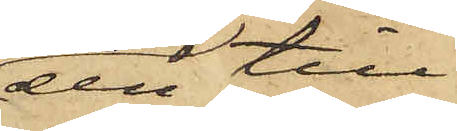den till
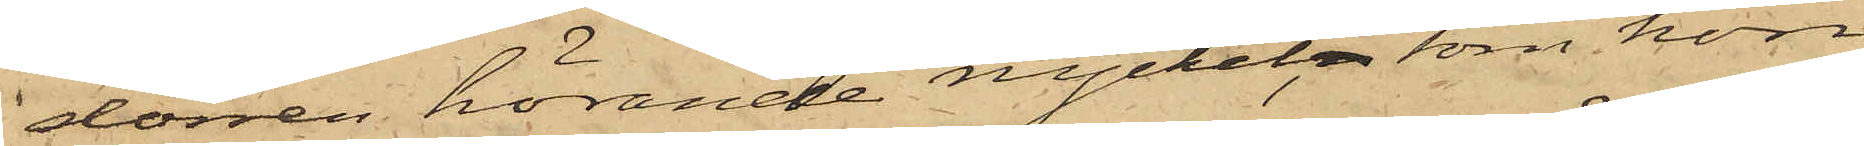dörren hörande nyckel, som hon
